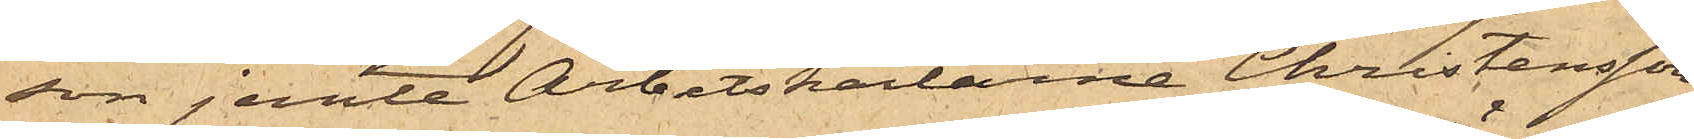son jemte Arbetskarlarna Christensson
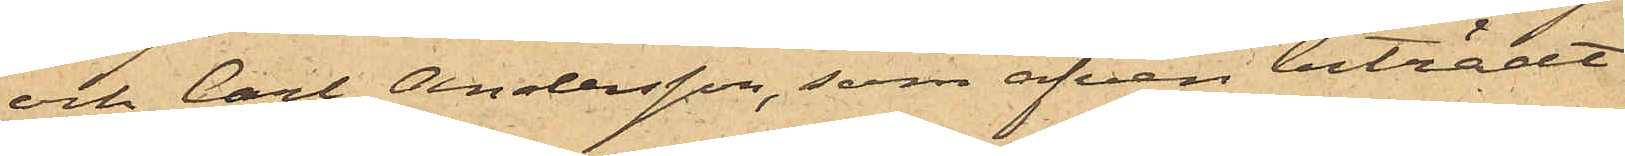och Carl Andersson, som äfven biträdt
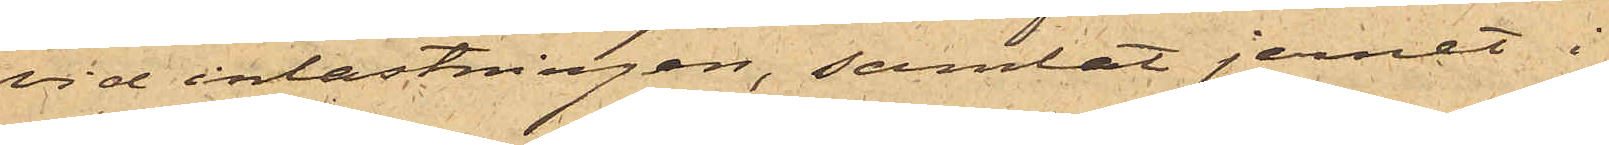vid inlastningen, samlat jernet i
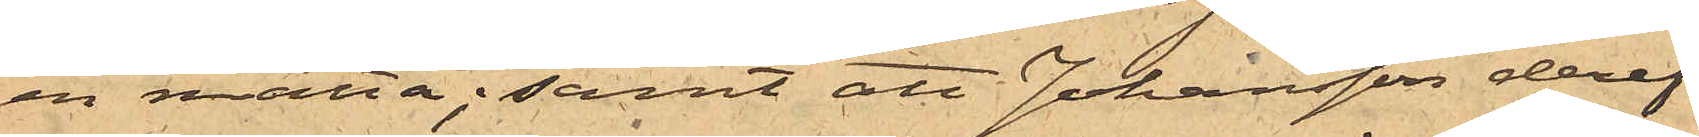en matta; samt att Johansson deref¬
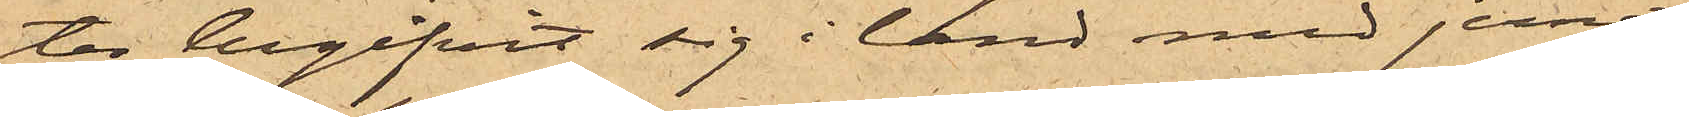ter begifvit sig i land med jernet
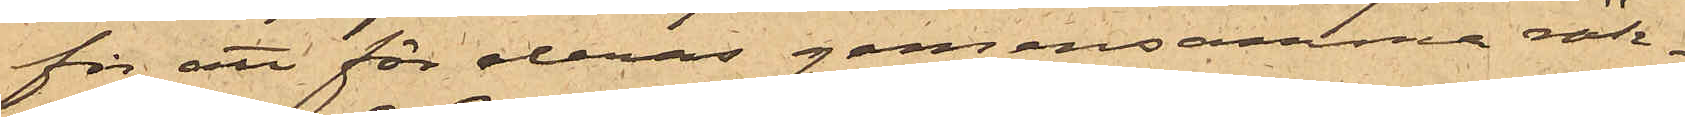för att för deras gemensamma räk¬
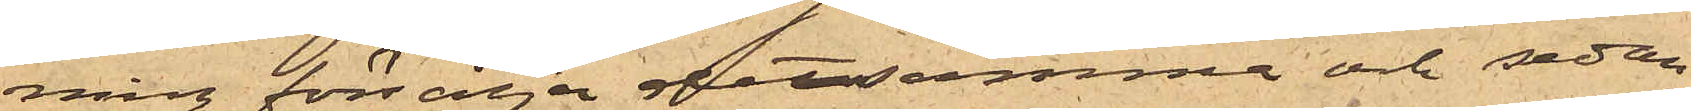ning försälja detsamma och sedan
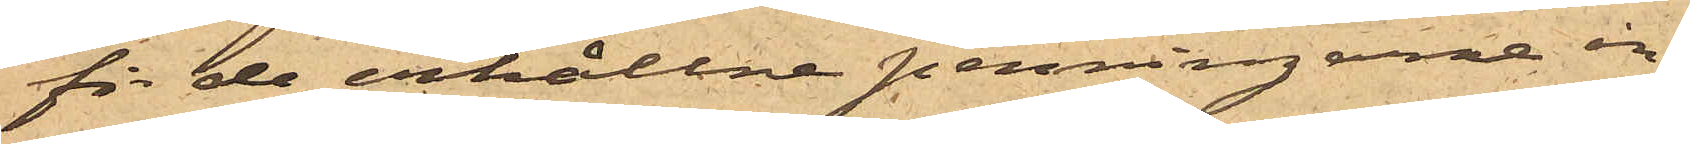för de erhållne penningarne in¬
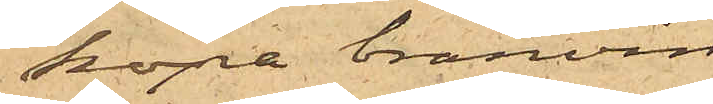köpa bränvin.
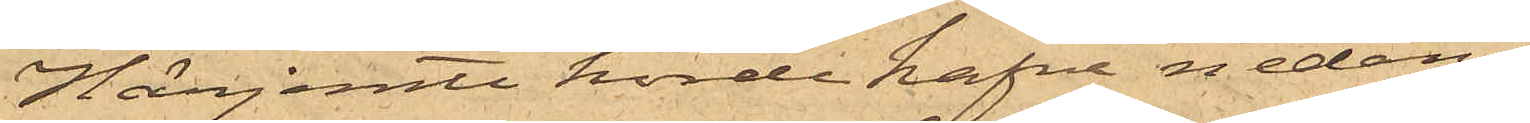Härjemte hörde hafva nedan¬
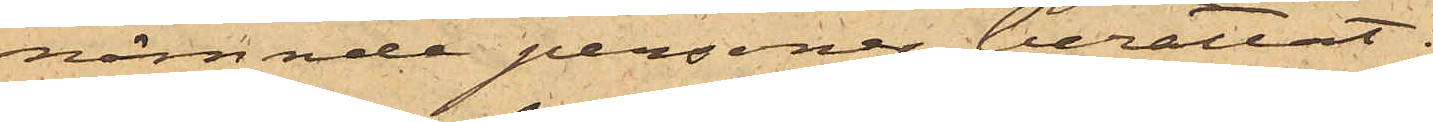nämnde personer berättat:
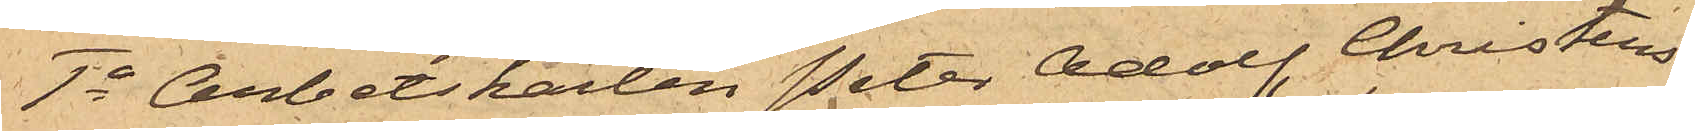1o Arbetskarlen Peter Adolf Christens¬
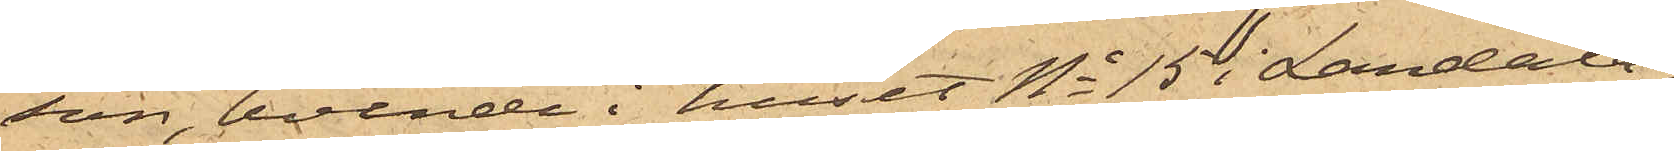son, boende i huset No 15 i Landala¬
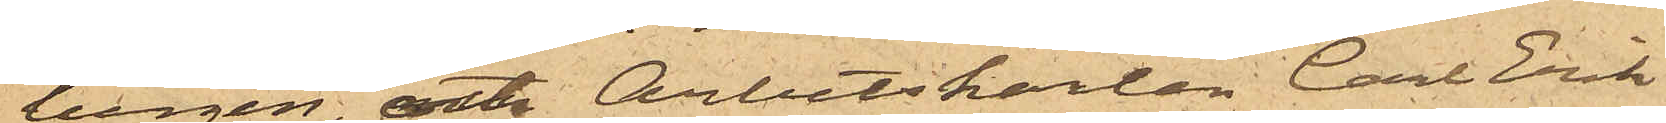bergen, att Arbetskarlen Carl Erik
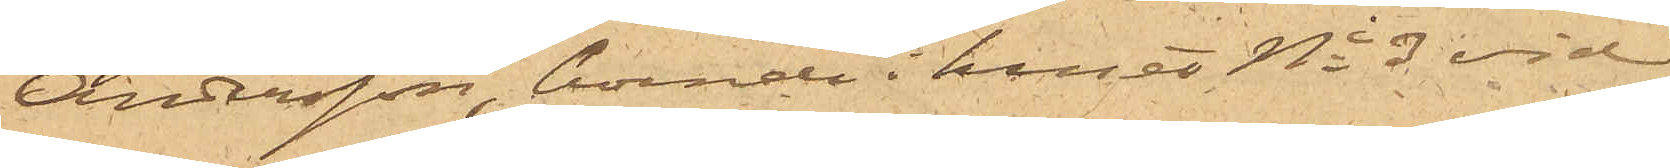Andersson, boende i huset No 3 vid
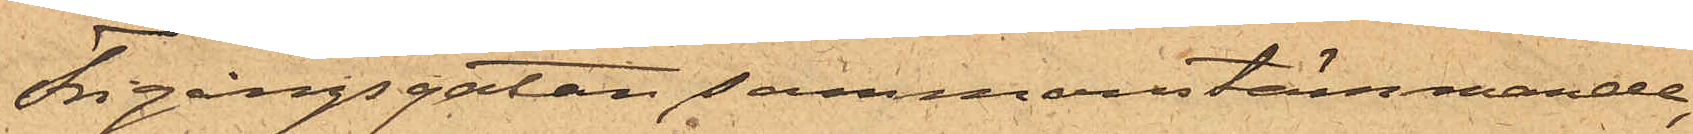Frigångsgatan sammanstämmande,
